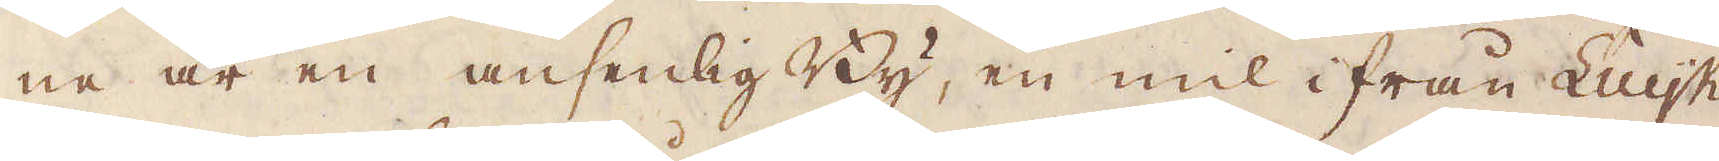ne är en ansenlig By, en mil ifrån Luijk,
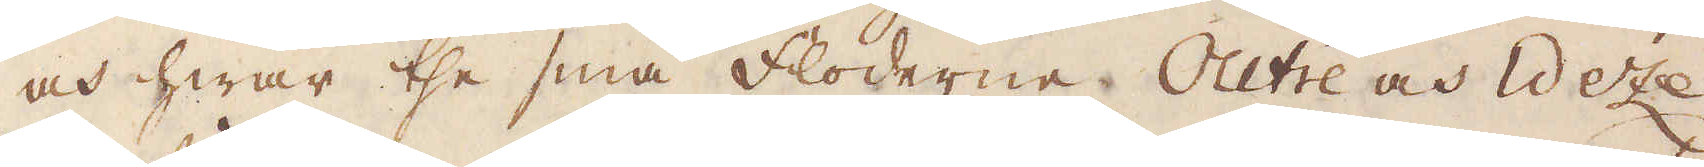och hwar the små floderne Outre och Weze
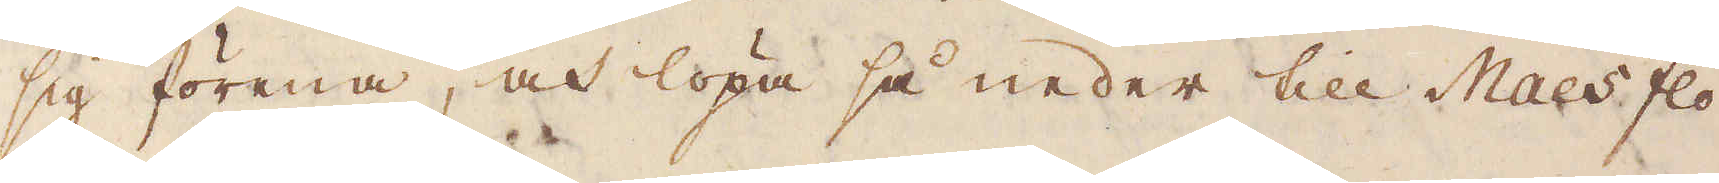sig förena, och löpa så neder till Maes flod-
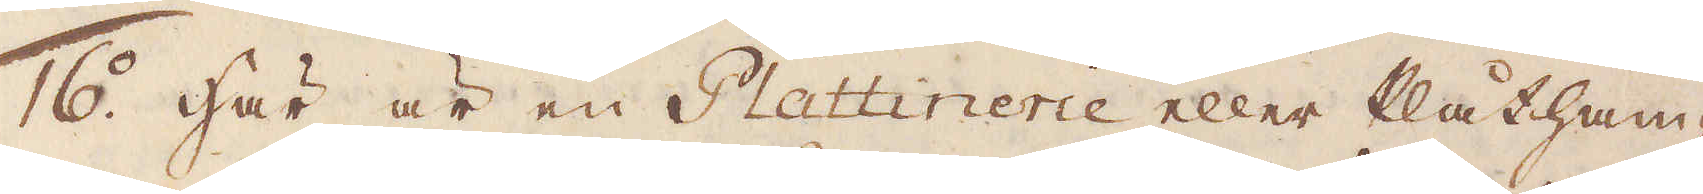16. Här är en Plattinerie eller Plåtham-
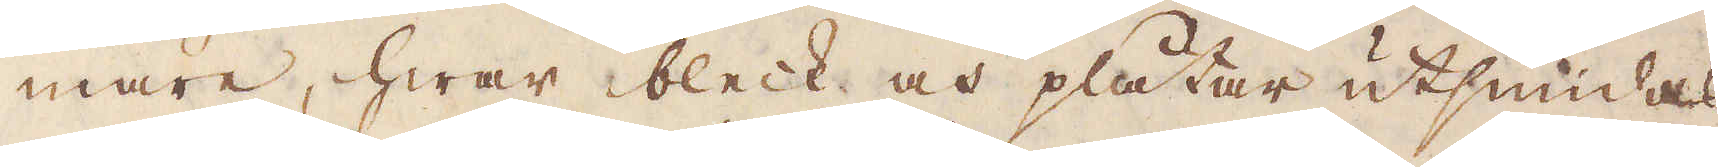mare, hwar bleck och plåtar utsmidas
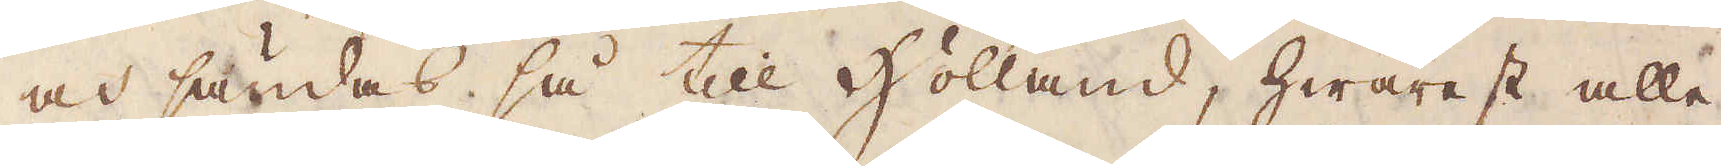och sandas så till Holland, hwarest alle-
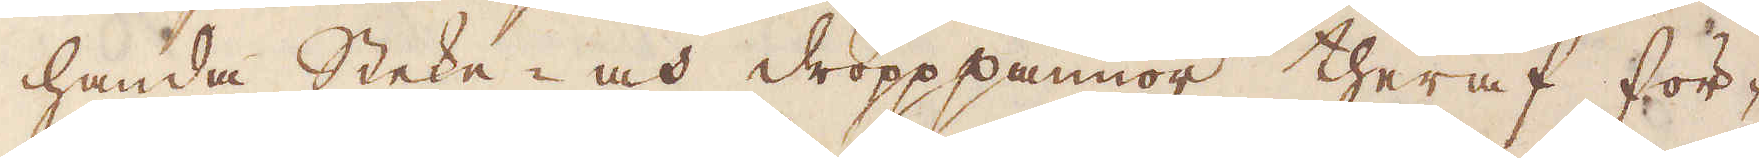handa Steke- och dropppannor theraf för-
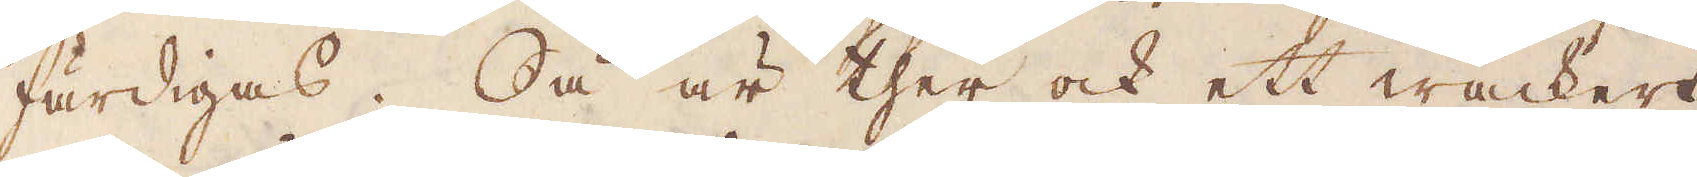färdigas. Så är ther ock ett wackert
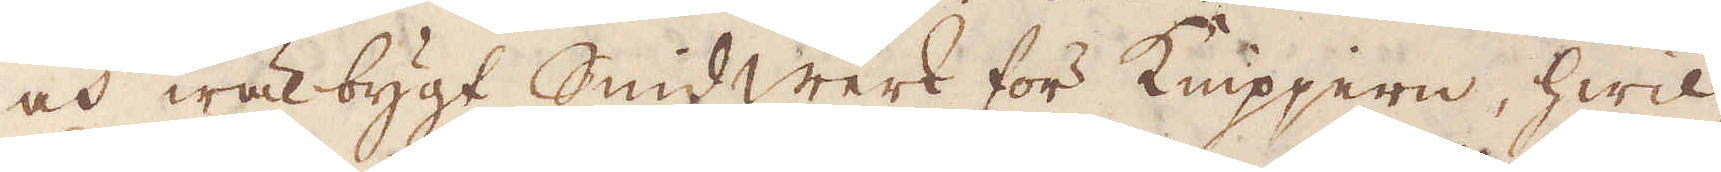och wälbygt Smidwerk för Knipjern, hwil-
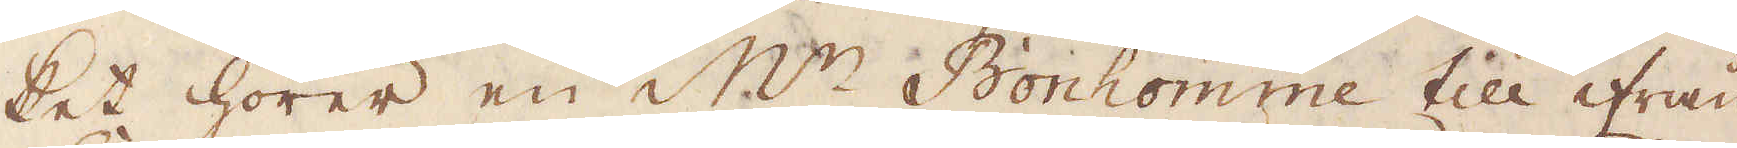ket hörer en M:r Bonhomme till ifrån
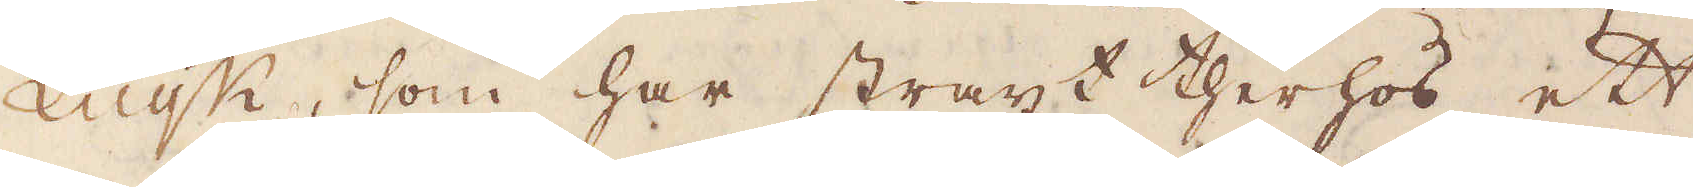Luijk, som har straxt therhos ett
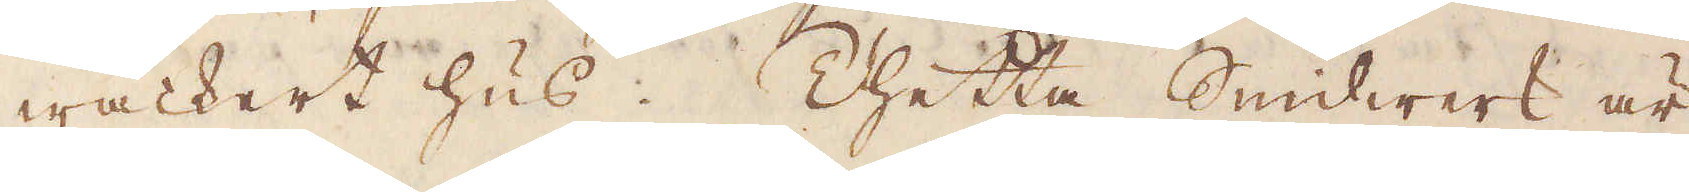wackert hus. Thetta Smidwerk är
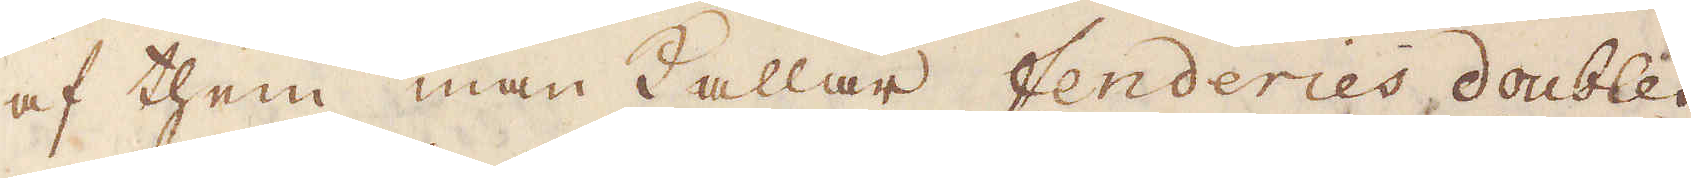af them man kallar fenderies doubles
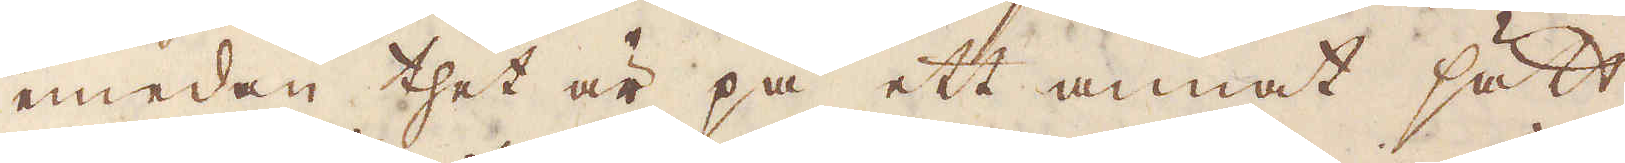emedan thet är på ett annat sätt
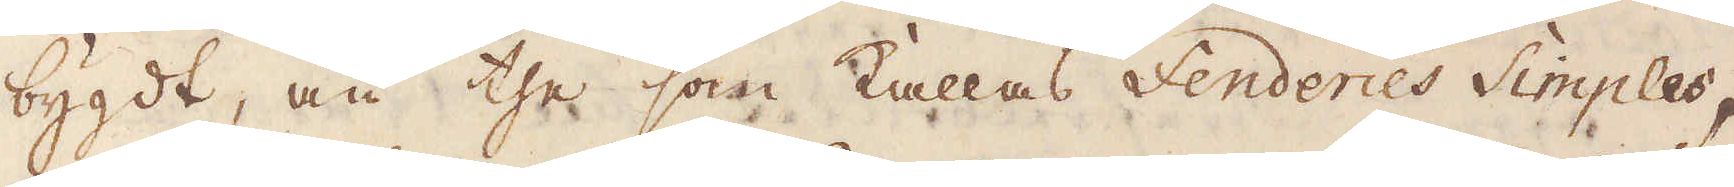bygdt, än the som kallas fenderies Simples,
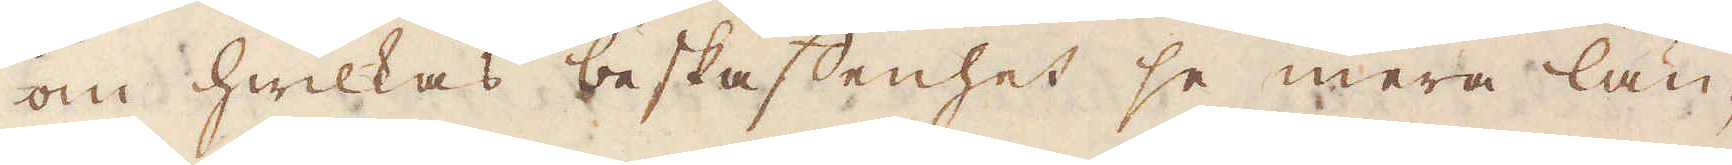om hwilkas beskaffenhet se mera län-
